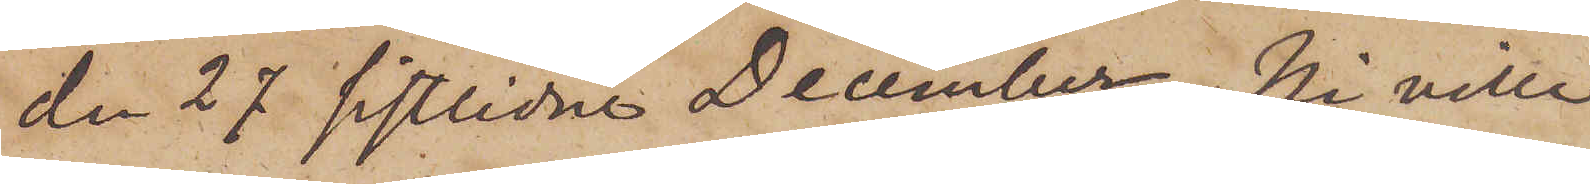den 27 sistlidne December, Ni ville
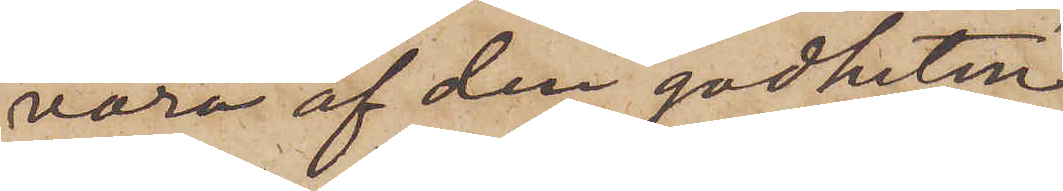vara af den godheten
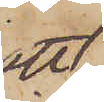att
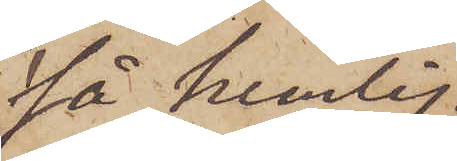så hemlig¬
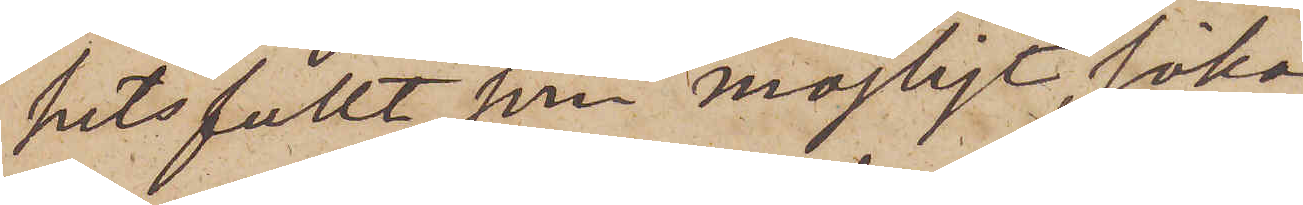hetsfullt som möjligt, söka
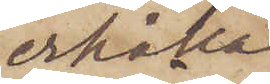erhålla
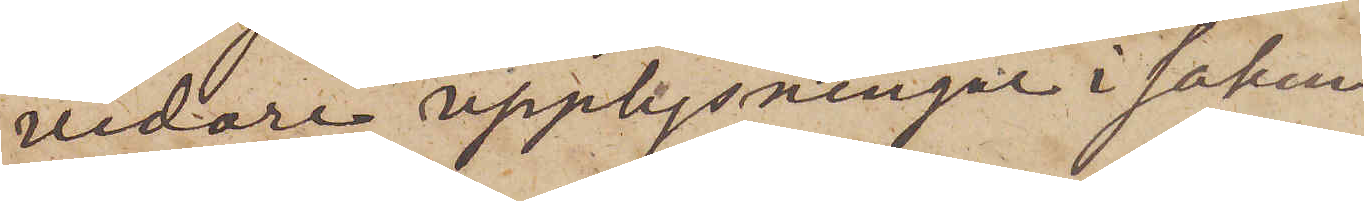vidare upplysningar i saken.
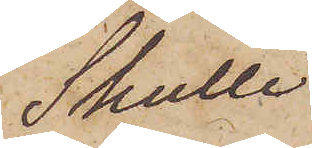Skulle
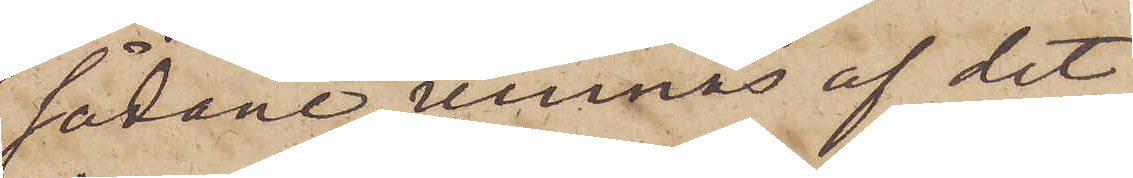sådane vinnas af det
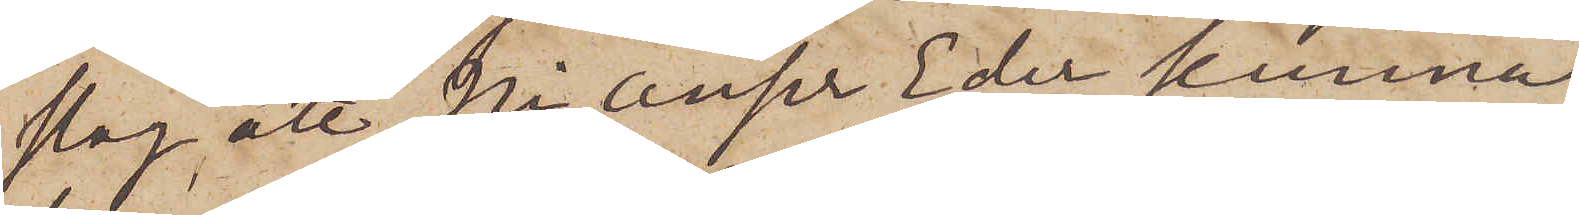slag, att Ni anser Eder kunna
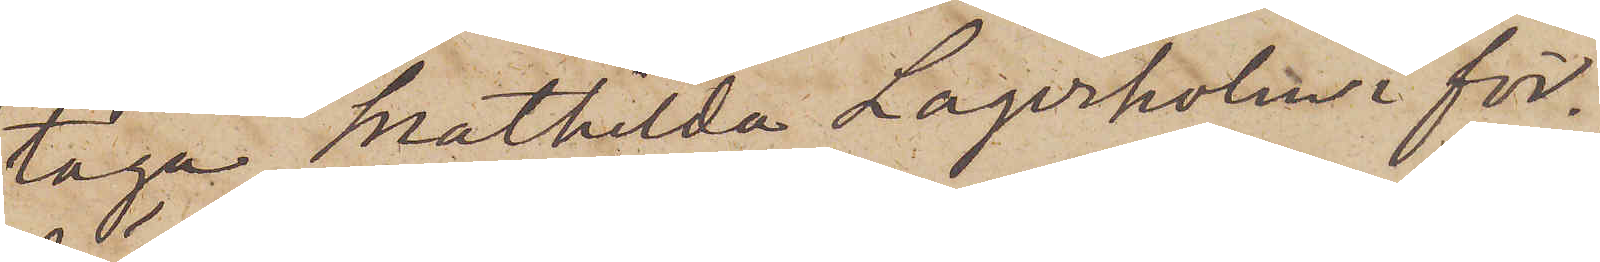taga Mathilda Lagerholm i för¬
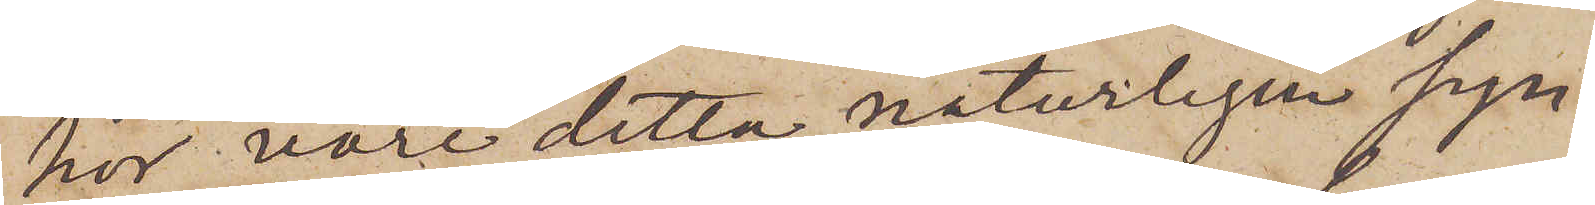hör, vore detta naturligen syn¬
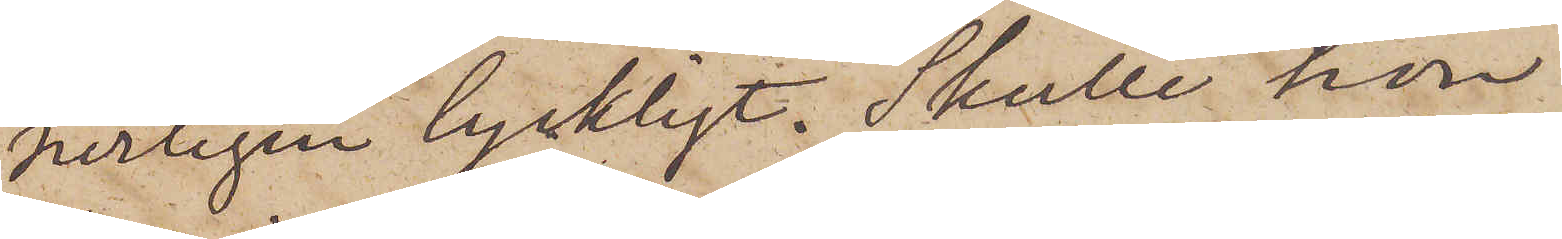nerligen lyckligt. Skulle hon
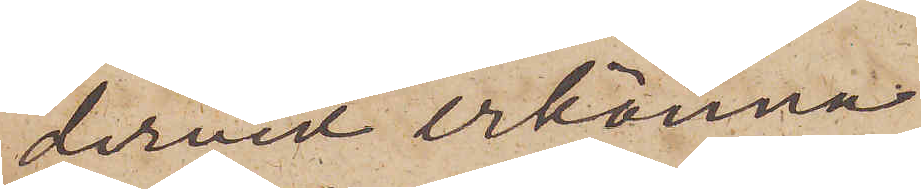dervid erkänna
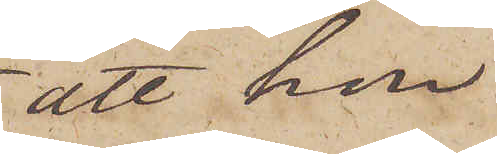att hon
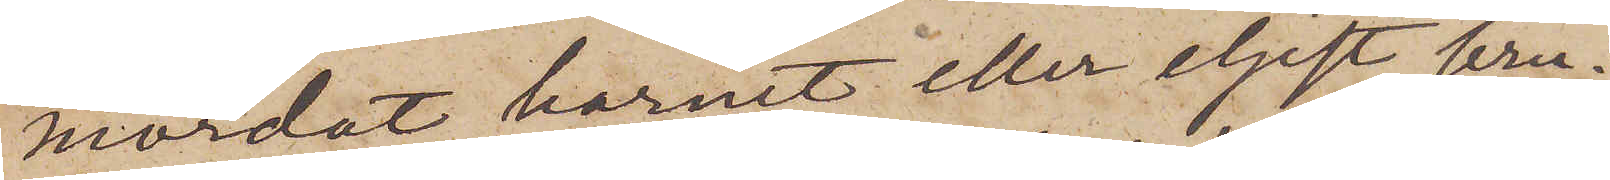mördat barnet eller eljest bru¬
